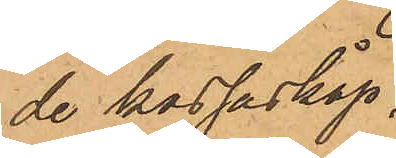de kassaskåp,
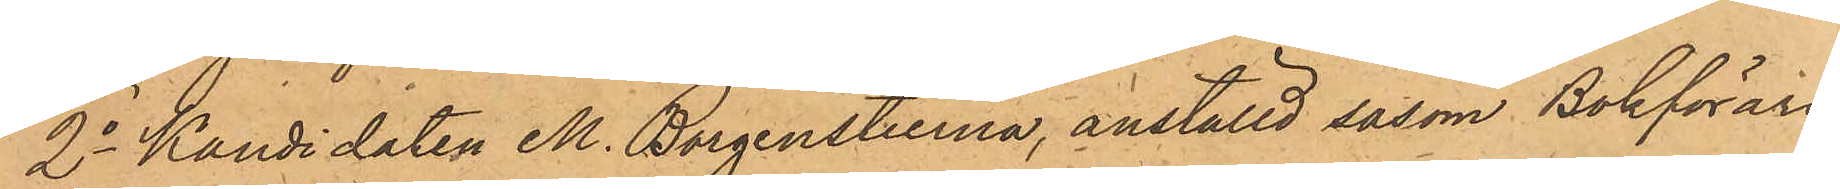2o Kandidaten M. Borgenstierna, anställd såsom Bokförare
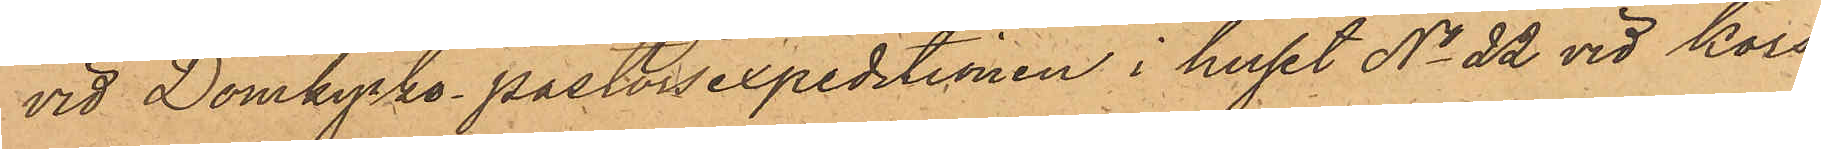vid Domkyrko pastorsexpeditionen i huset No 22 vid Kors¬
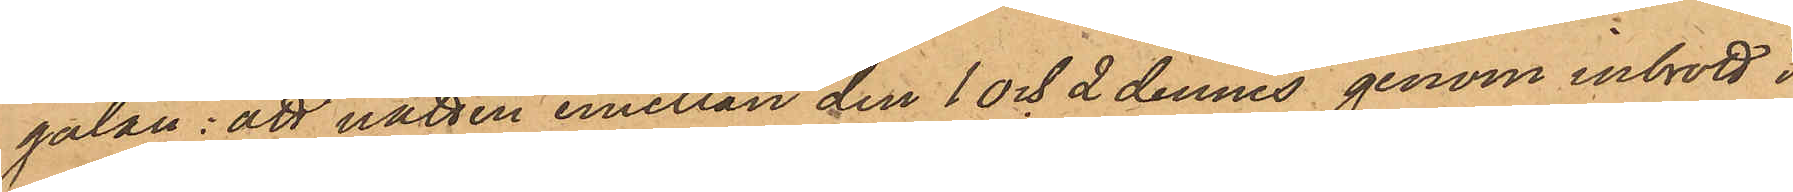gatan: att natten emellan den 1 och 2 dennes genom inbrott i
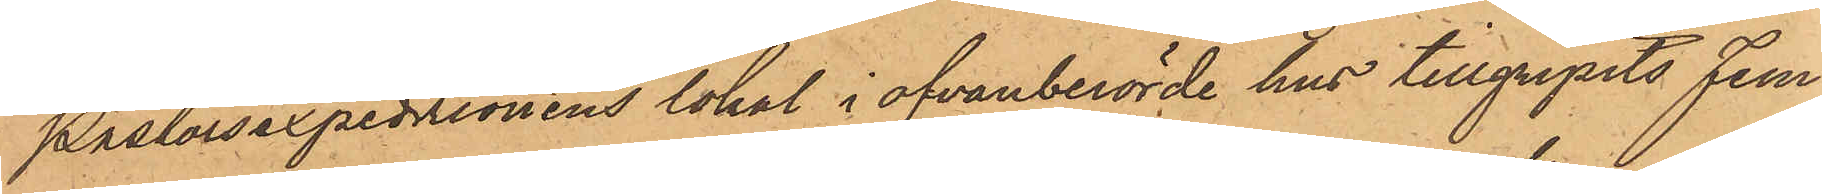Pastorsexpedtionens lokal i ofvanberörde hus tillgripits fem
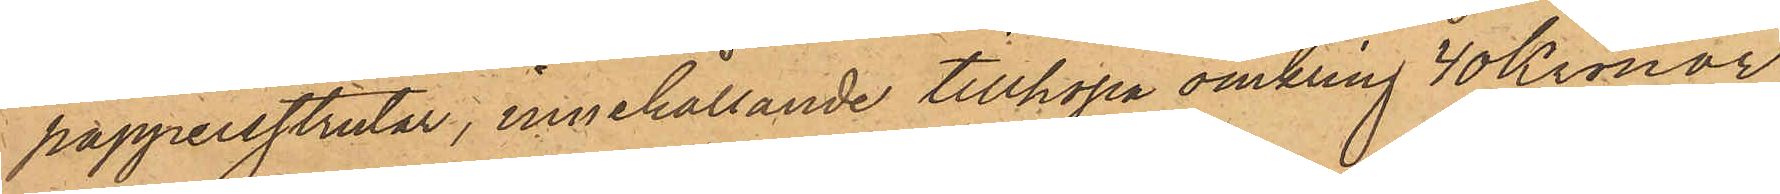pappersstrutar, innehållande tillhopa omkring 40 Kronor,
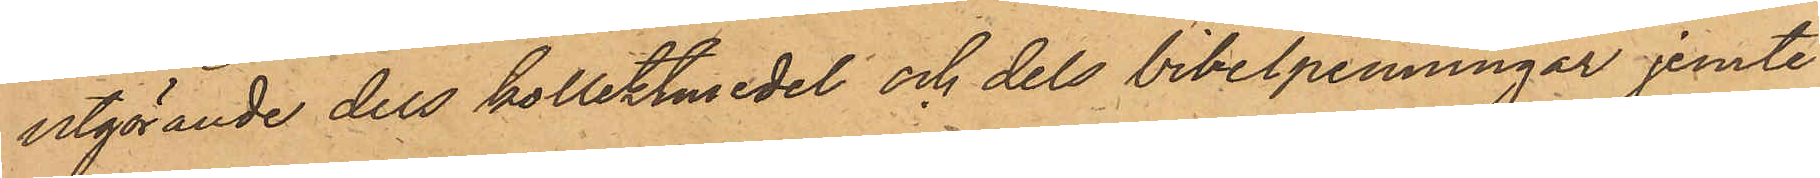utgörande dels kollektmedel och dels bibelpenningar jemte
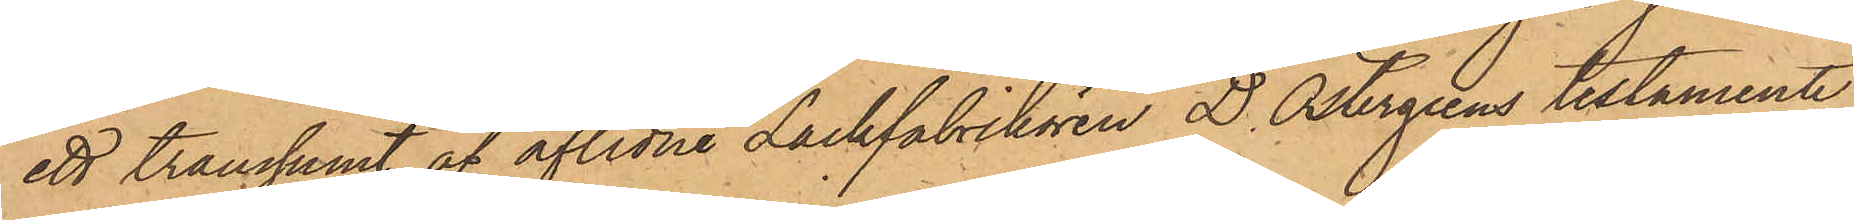ett transsumt af aflidne Lackfabrikören D. Östergrens testamente;
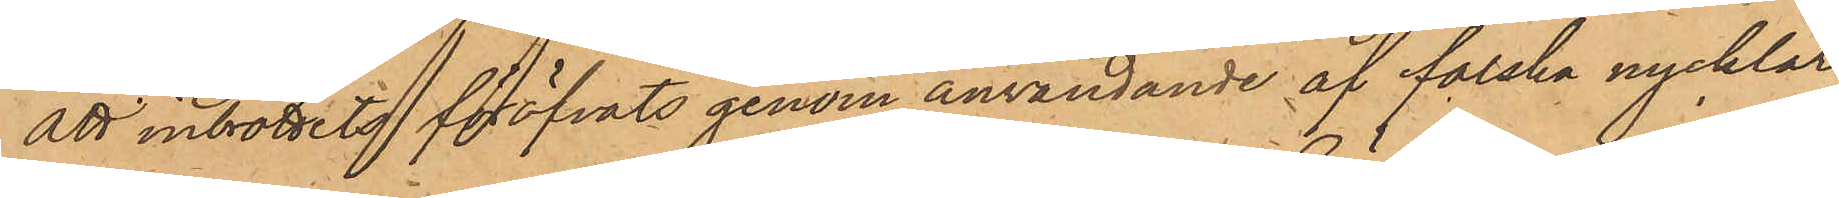att inbrottets föröfvats genom användande af falska nycklar
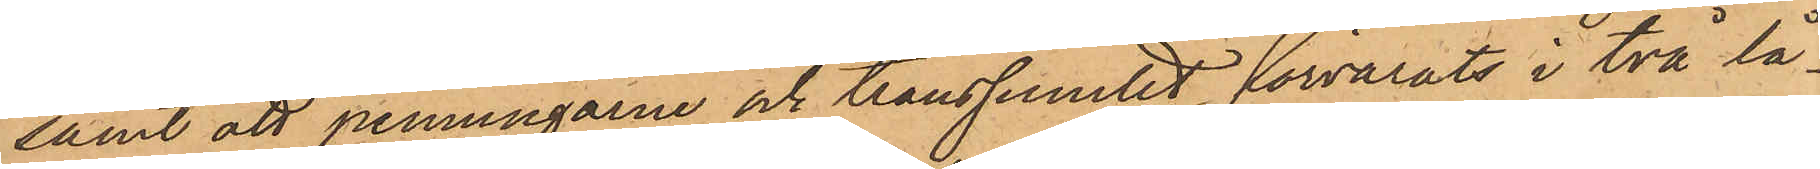samt att penningarne och transsumtet förvarats i två lå¬
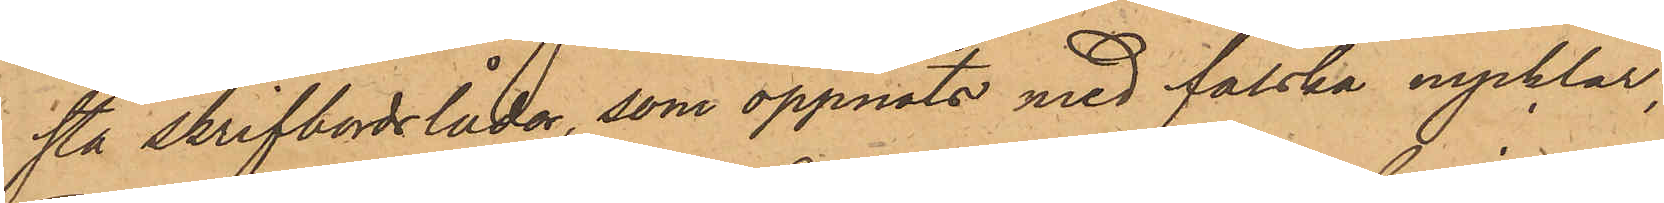sta skrifbordslådor, som öppnats med falska nycklar,
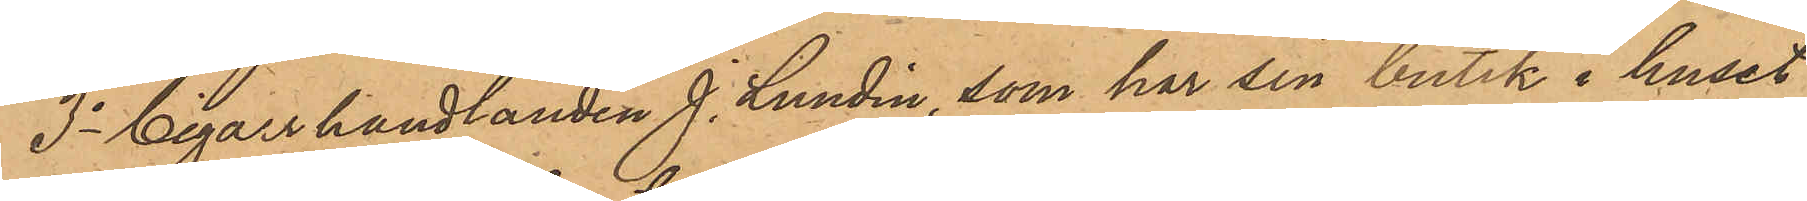3o Cigarrhandlanden J. Lundin, som har sin butik i huset
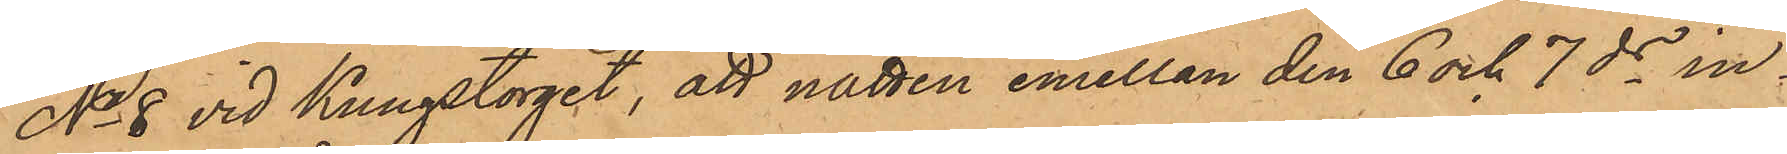No 8 vid Kungstorget, att natten emellan den 6 och 7 ds in¬
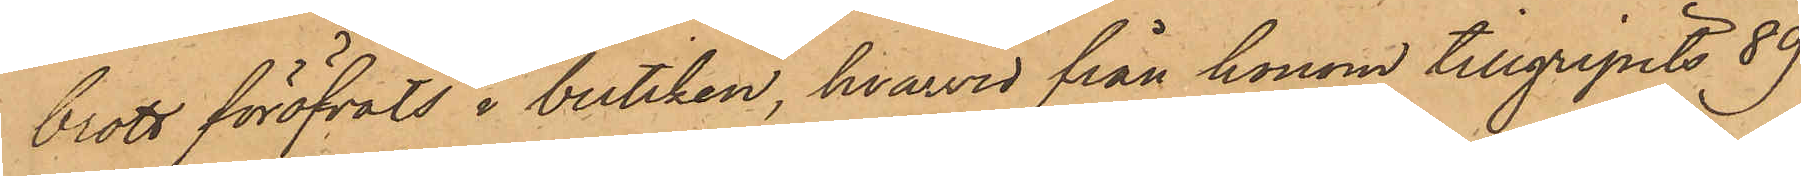brott föröfvats i butiken, hvarvid från honom tillgripits 89
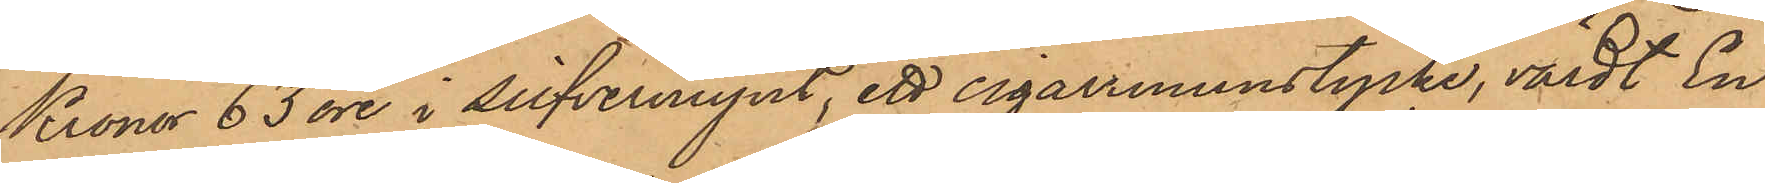Kronor 63 öre i silfvermynt, ett cigarrmunstycke, värdt En
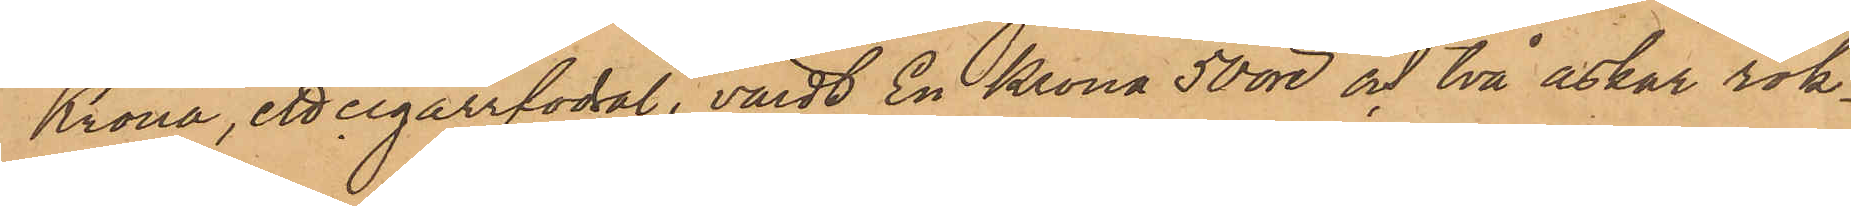Krona, ett cigarrfodral, värdt En Krona 50 öre och två askar rök¬
